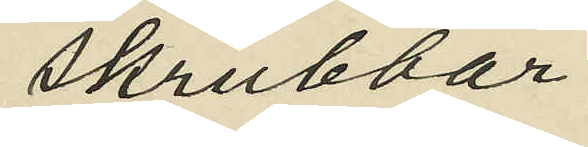skrubbar.
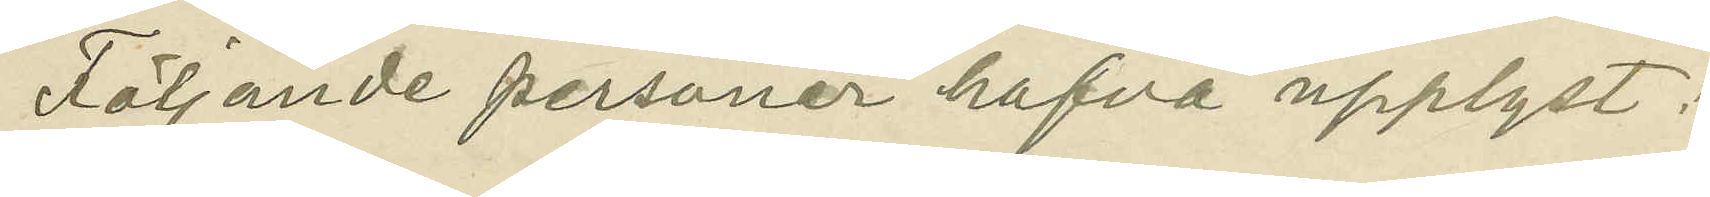Följande personer hafva upplyst:
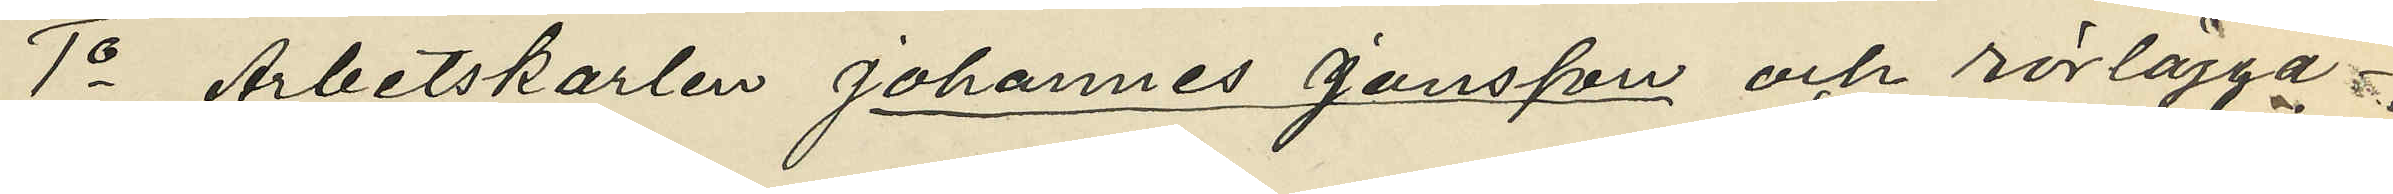1o Arbetskarlen Johannes Jonsson och rörlägga¬
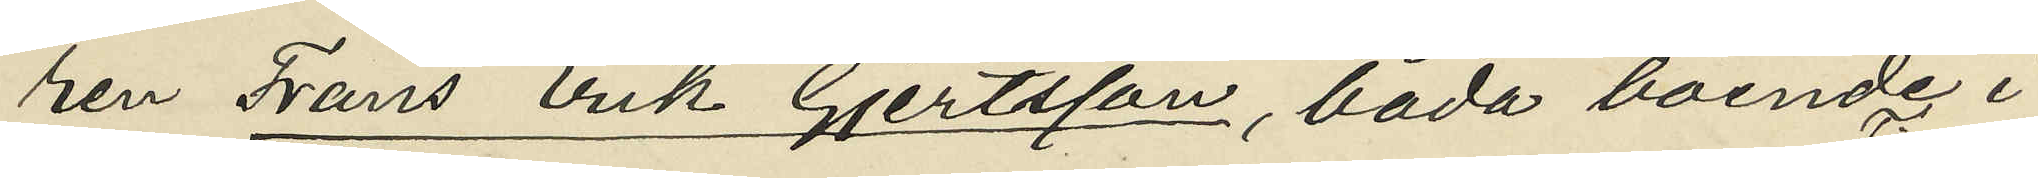ren Frans Erik Gjertsson, båda boende i
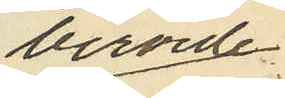berörde
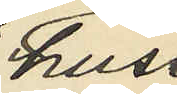hus
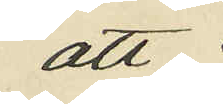att
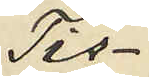Tis¬
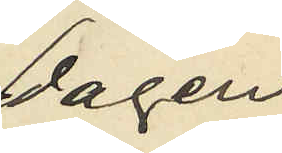dagen
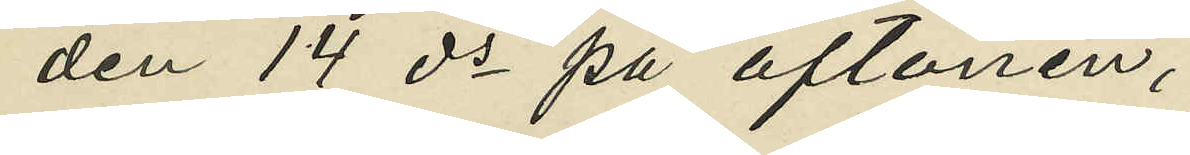den 14 ds på aftonen,
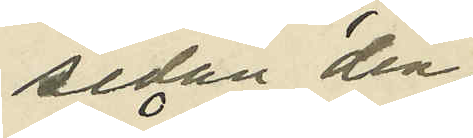sedan den
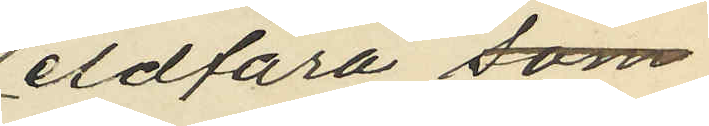eldfara som
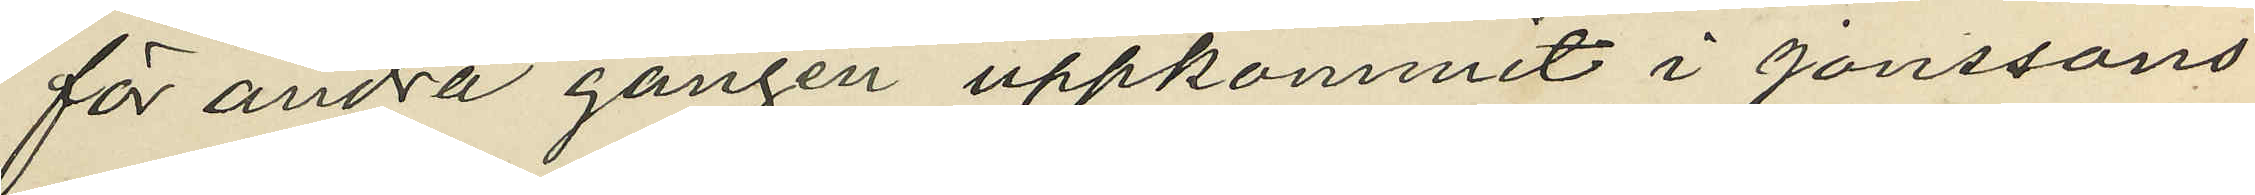för andra gången uppkommit i Jonssons
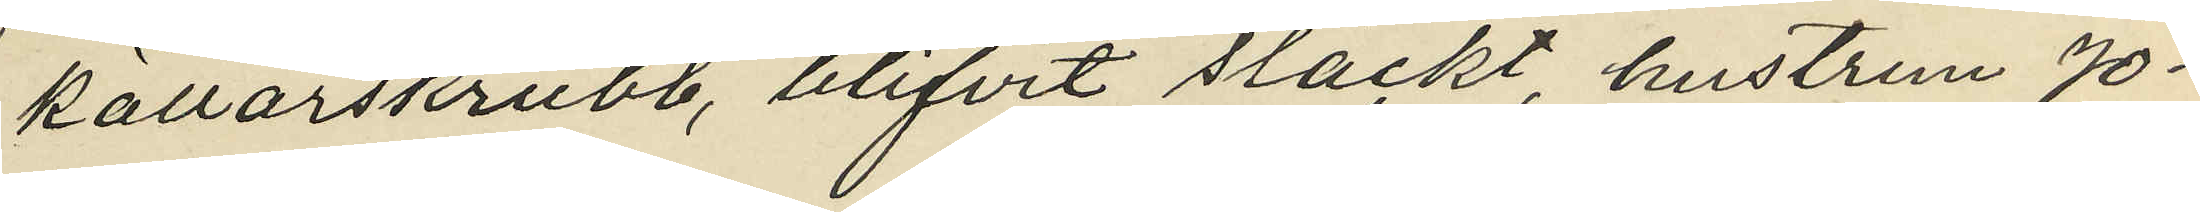källarskrubb, blifvit släckt, hustrun Jo¬
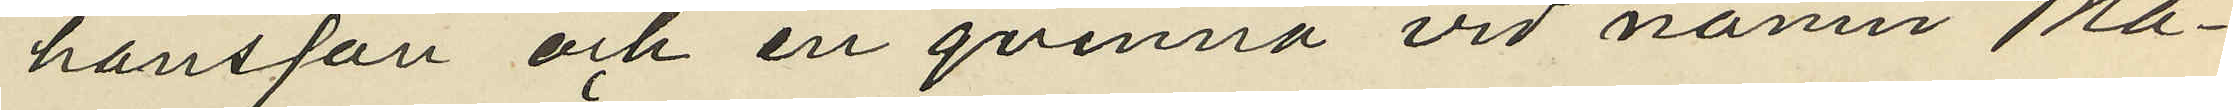hansson och en qvinna vid namn Ma¬
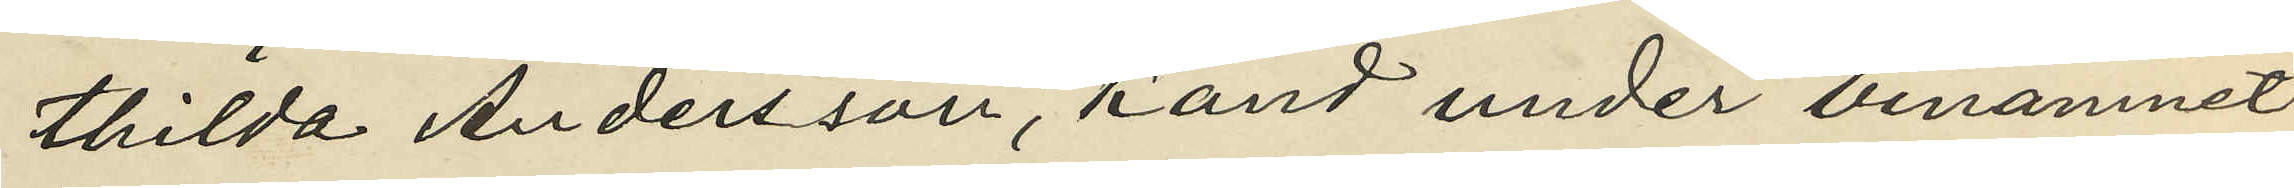thilda Andersson, känd under binamnet
